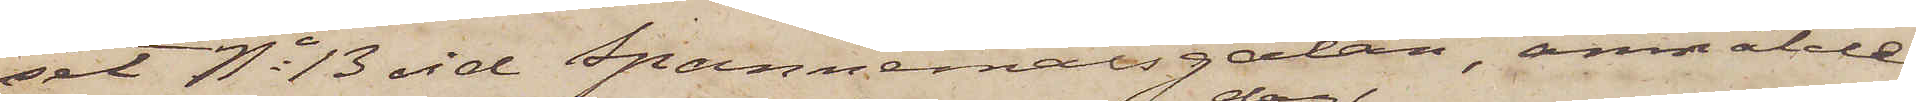set No 13 vid Spannemålsgatan, anmälde
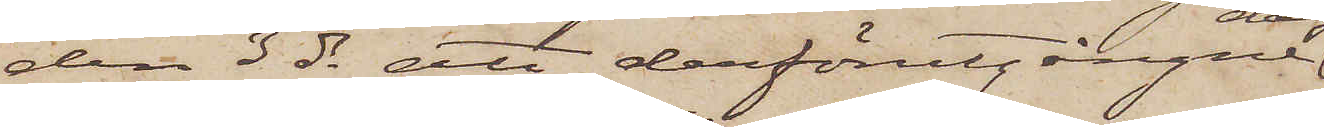den 3 ds att derförutgångne
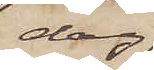dag
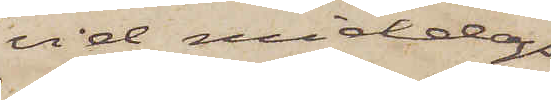vid middags¬
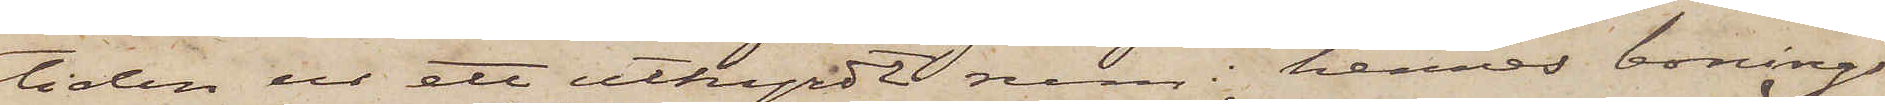tiden ur ett uthyrdt rum i hennes bonings¬
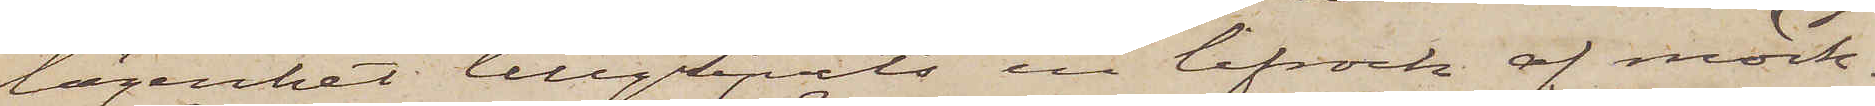lägenhet tillgripits en lifrock af mörk¬
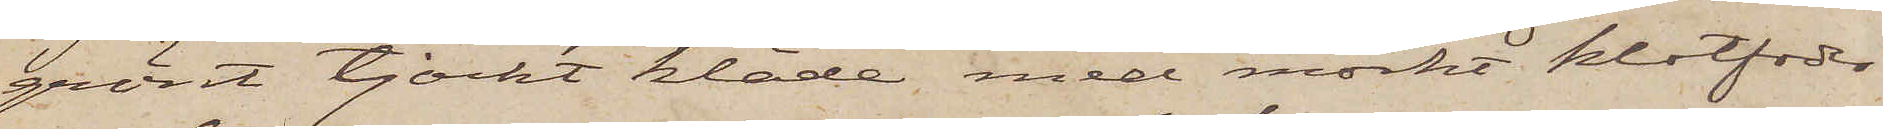grönt tjockt kläde med mörkt klotfoder
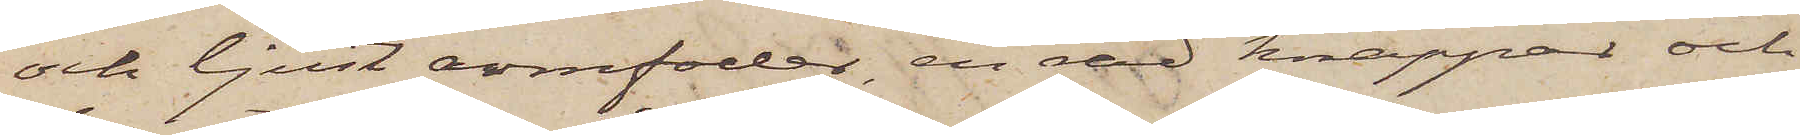och ljust armfoder, en rad knappar och
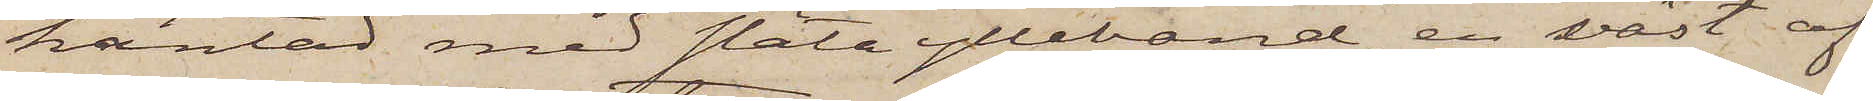kantad med släta ylleband, en väst af
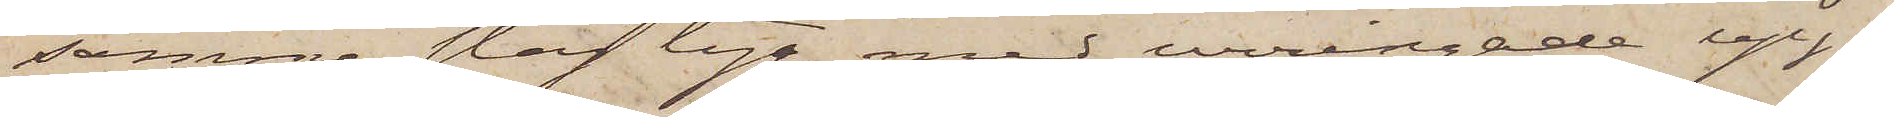samma slag tyg med urringade upp¬
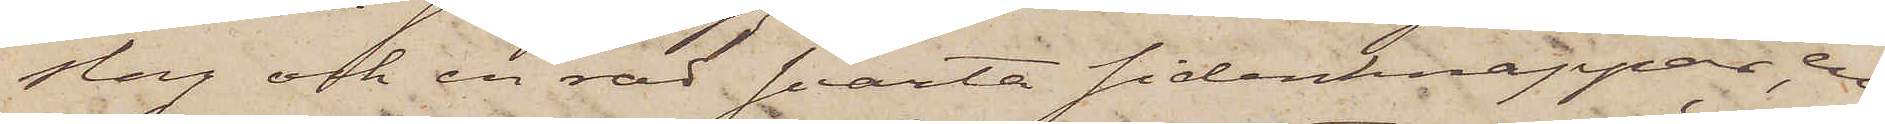slag och en röd svarta sidenknappar, en
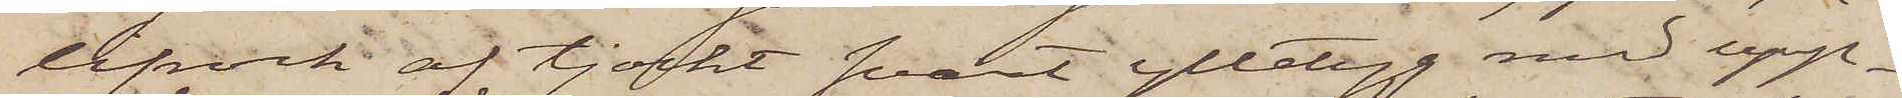lifrock af tjockt svart ylletyg med upp¬
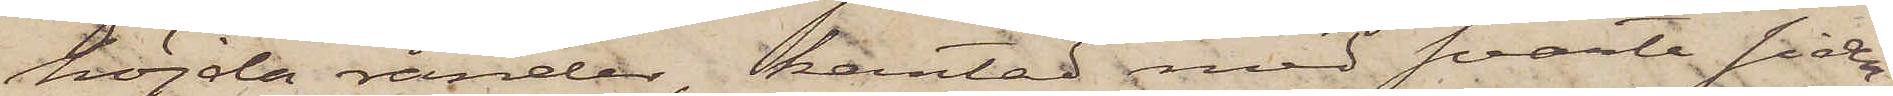höjda ränder, kantad med svarta siden¬
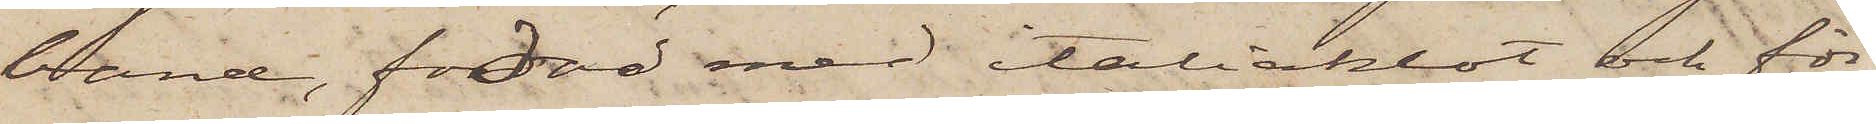band, fodad med italiaklot och för¬
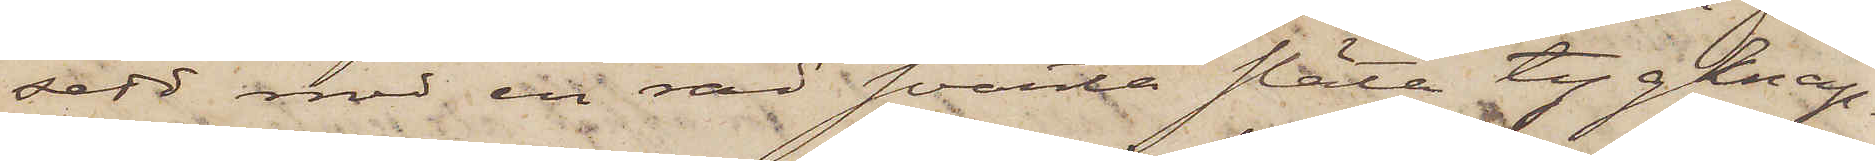sedd med en rad svarta släta tygknap¬
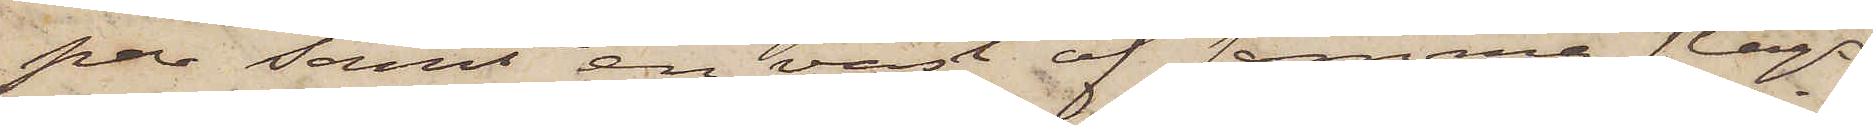par samt en väst af samma slags
